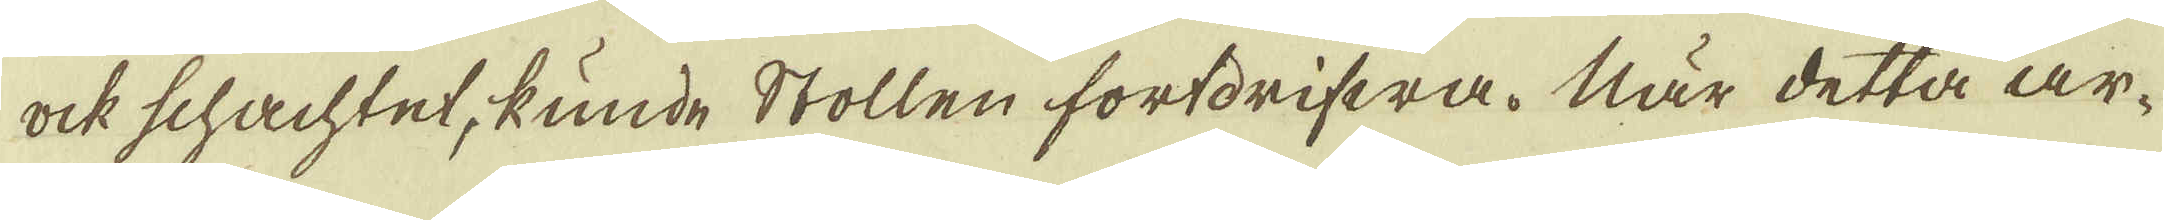ock schachtet, kunde Stollen fortdrifwa. När detta ar-
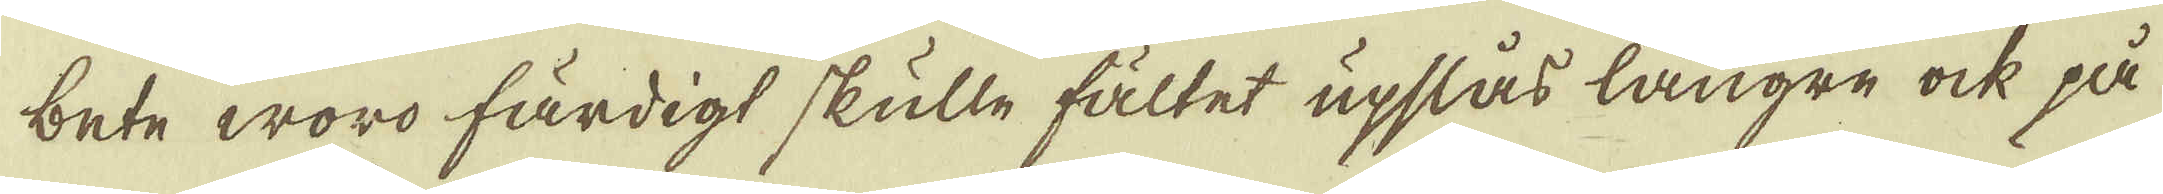bete woro färdigt skulle fältet upslås längre ock på
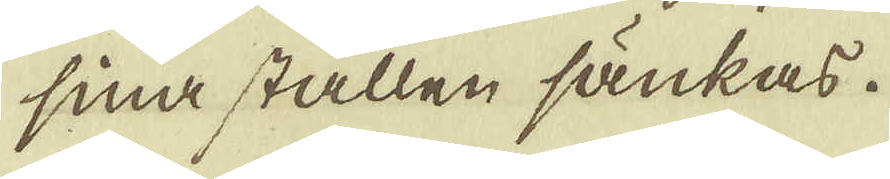sina ställen sänkas.
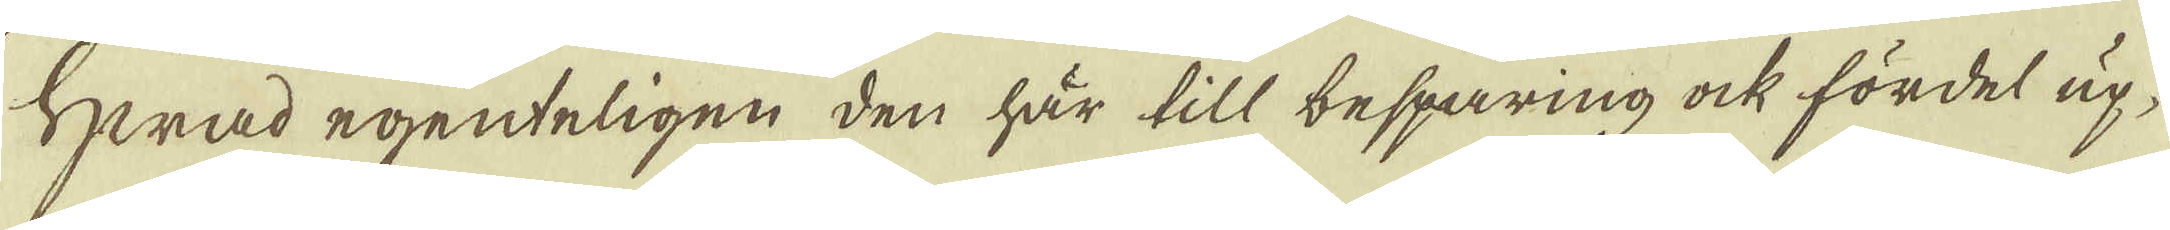Hwad egenteligen den här till, besparing ock fördel up-
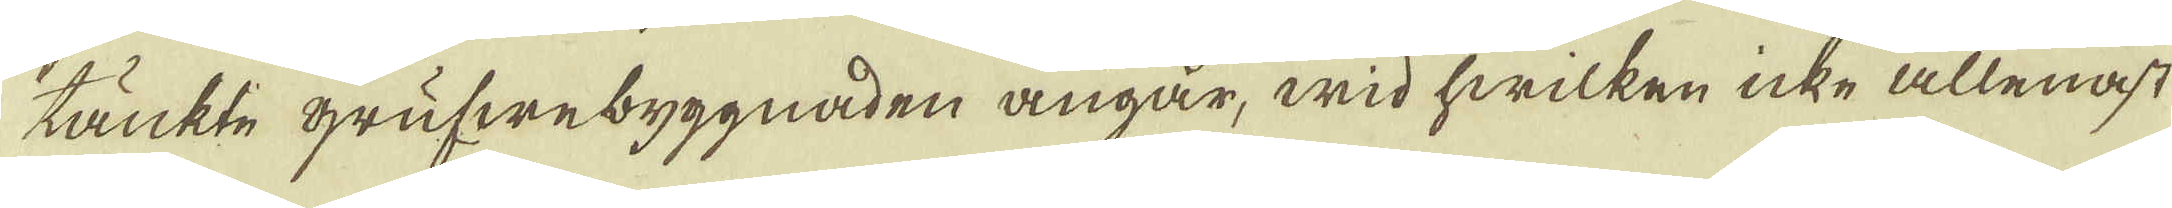tänkte grufwebyggnaden angår, wid hwilken icke allenast
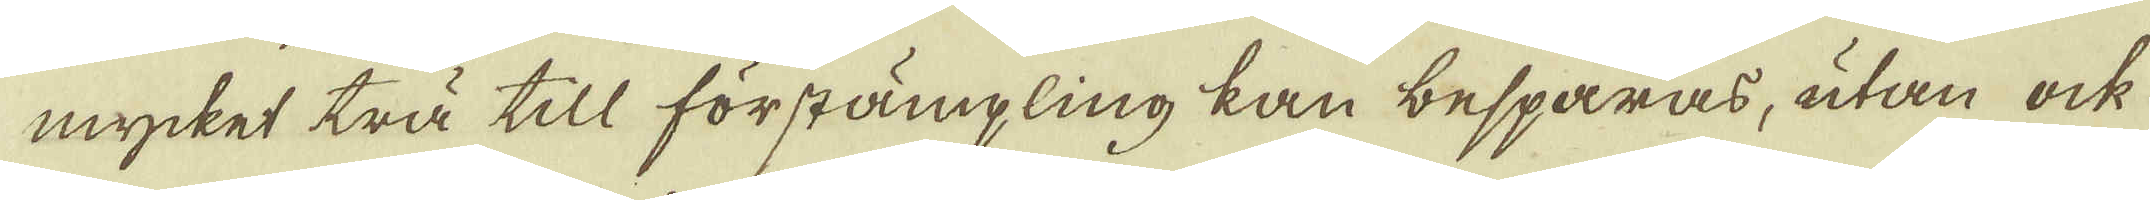mycket trä till förstämpling kan besparas, utan ock
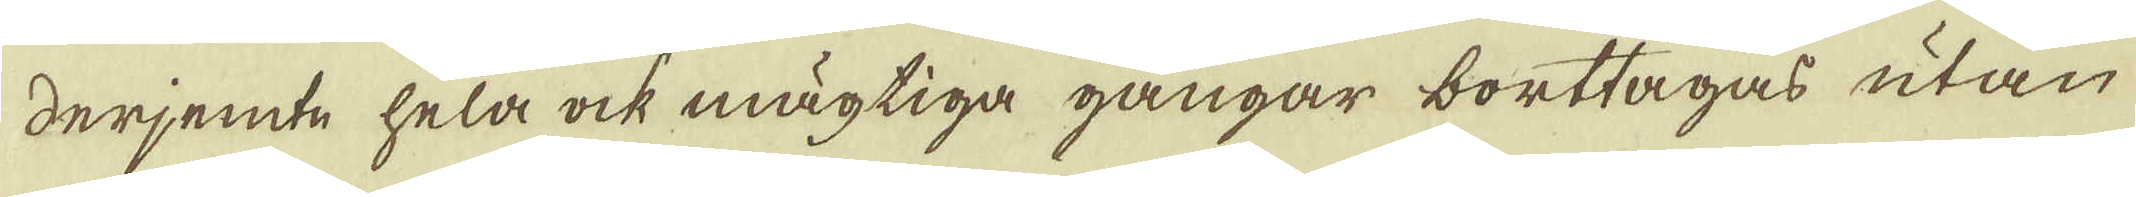derjemte hela ock mägtiga gångar borttagas utan
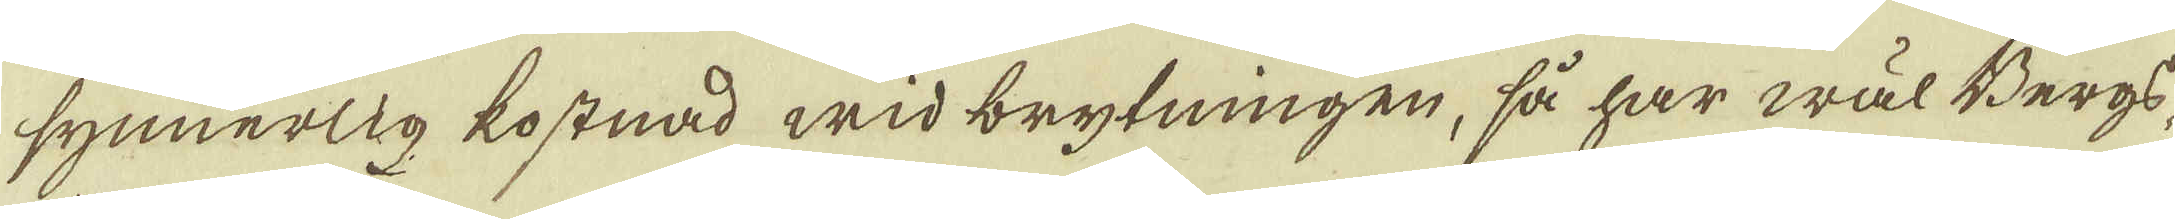synnerlig kostnad wid brytningen, så har wäl Bergs
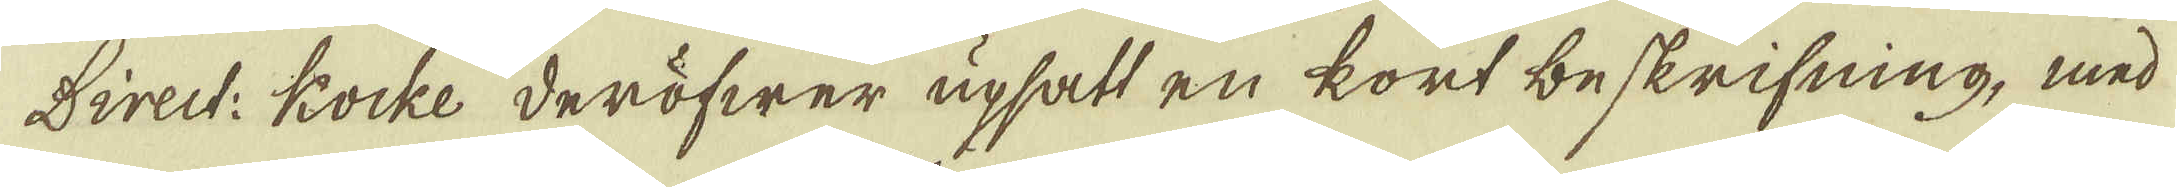Direct: Kocke deröfwer upsatt en kort beskrifning, med
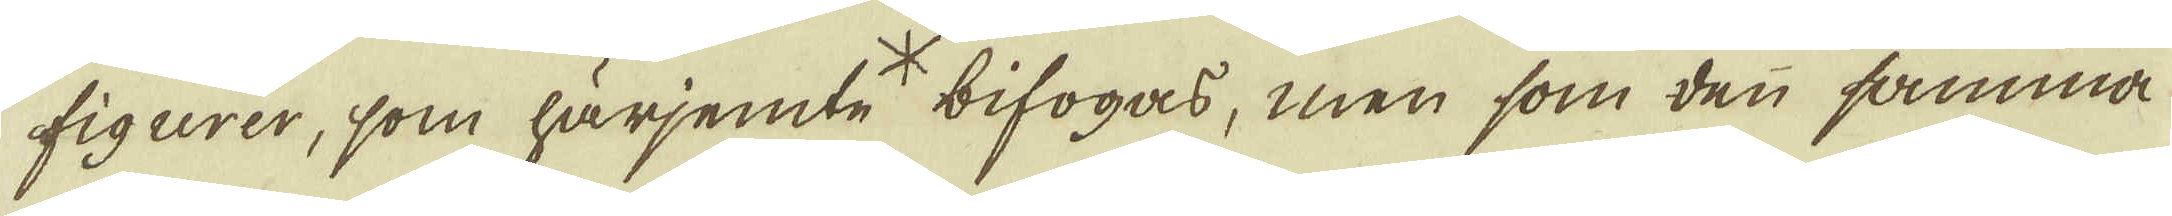figurer, som härjemte * bifogas, men som den samma
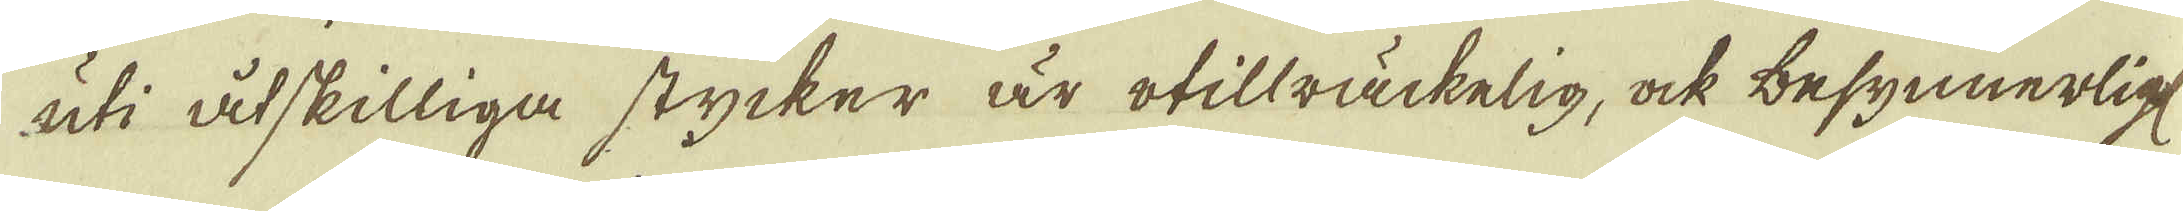uti åtskilliga stycker är otillräckelig, ock besynnerligt
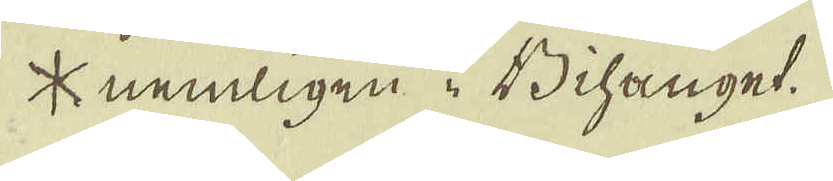* nemligen i Bihanget.
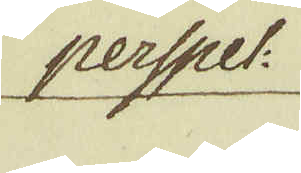perspect:
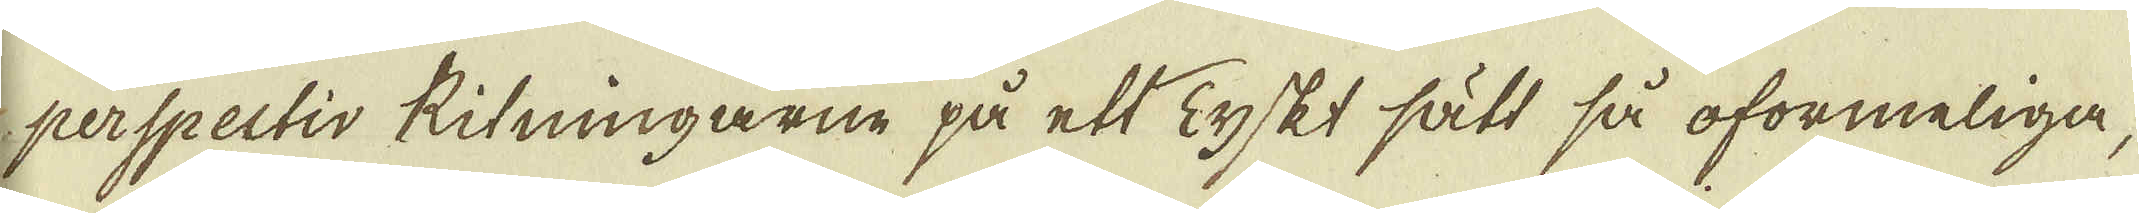perspectis Ritningarne på ett Tyskt sätt så oformeliga,
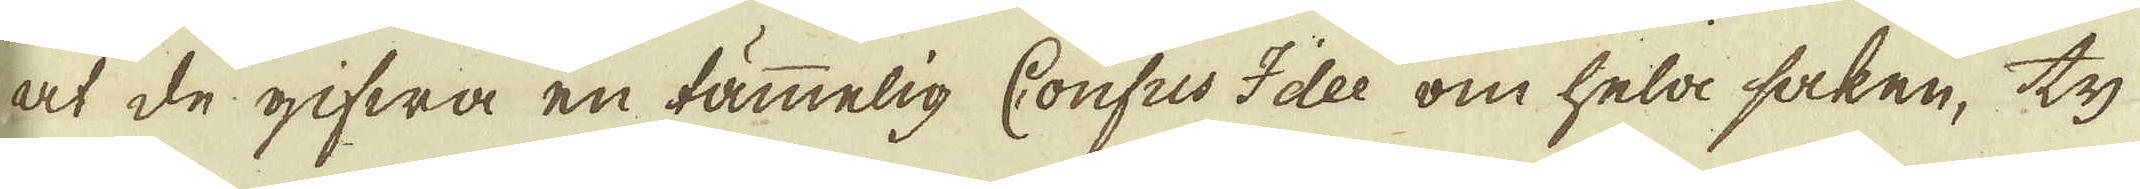at de gifwa en tämmelig Confus Idee om hela saken, ty
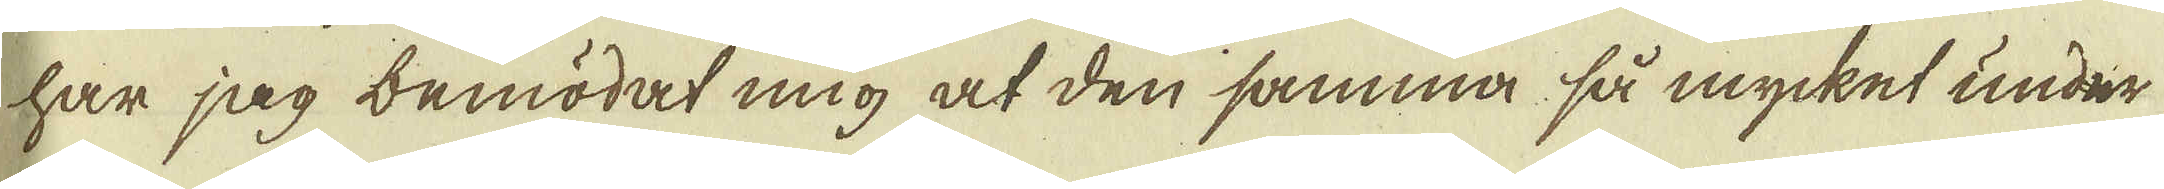har jag bemödat mig at den samma så mycket under-
